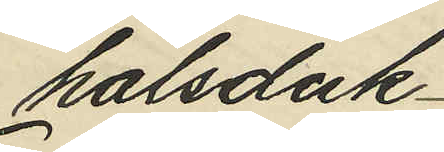halsduk
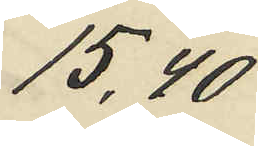15,40
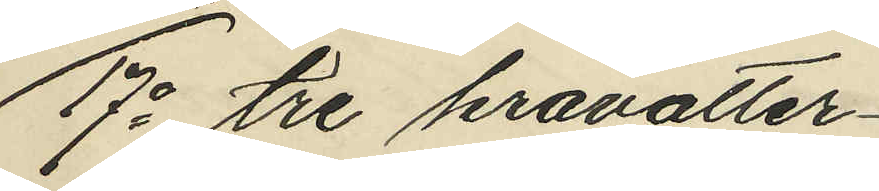17o tre kravatter
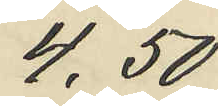4,50
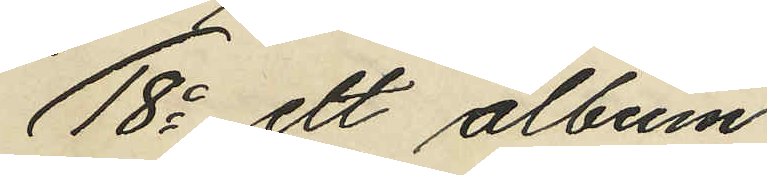18o ett album
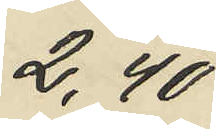2,40
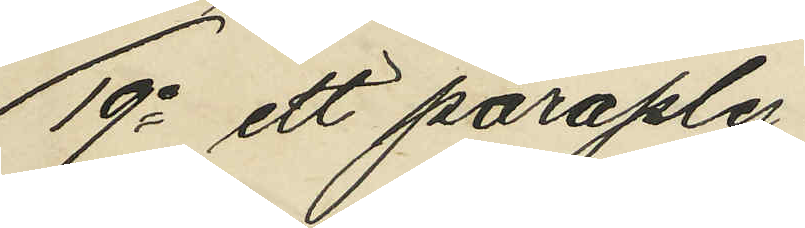19o ett paraply
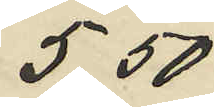5,50
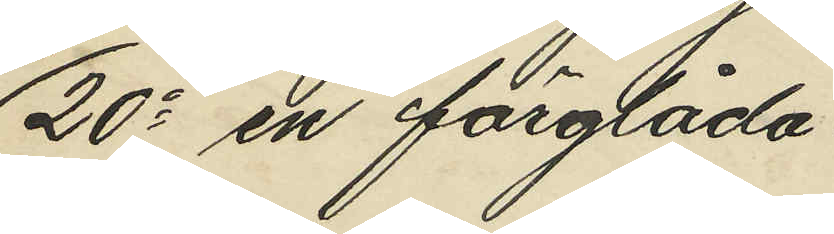20o en färglåda
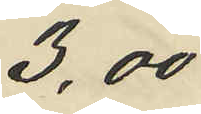3,00
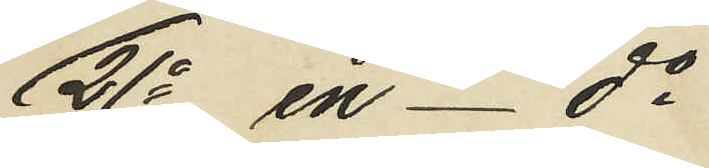21o en - do
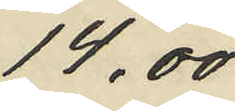14.00
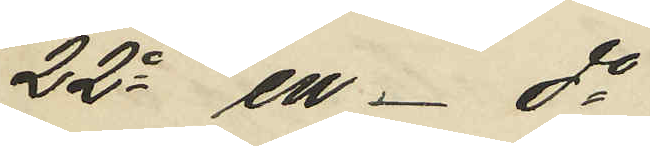22o en - do
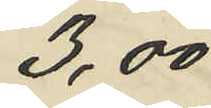3,00
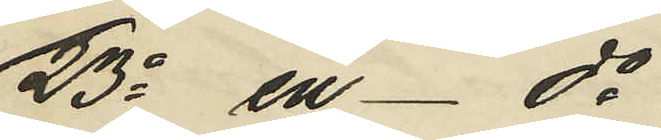23o en - do
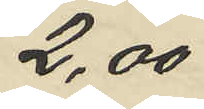2,00
